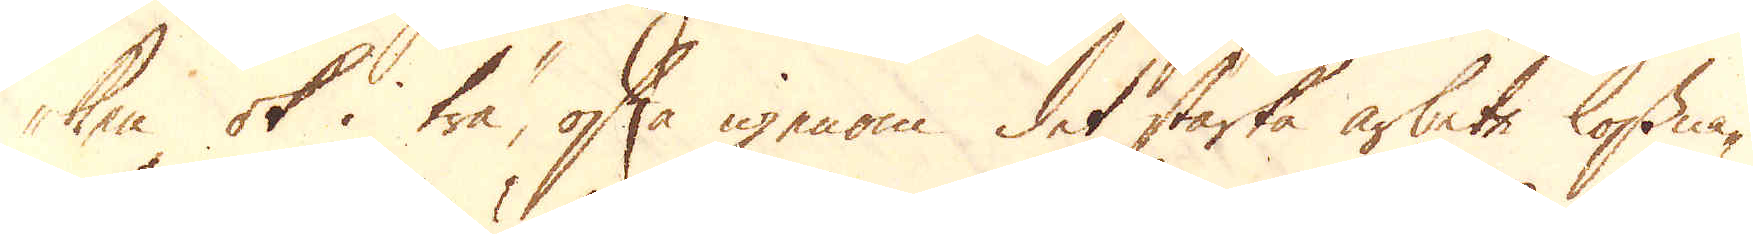ken ok i trä, ofta igenom det starka arbete lossna-
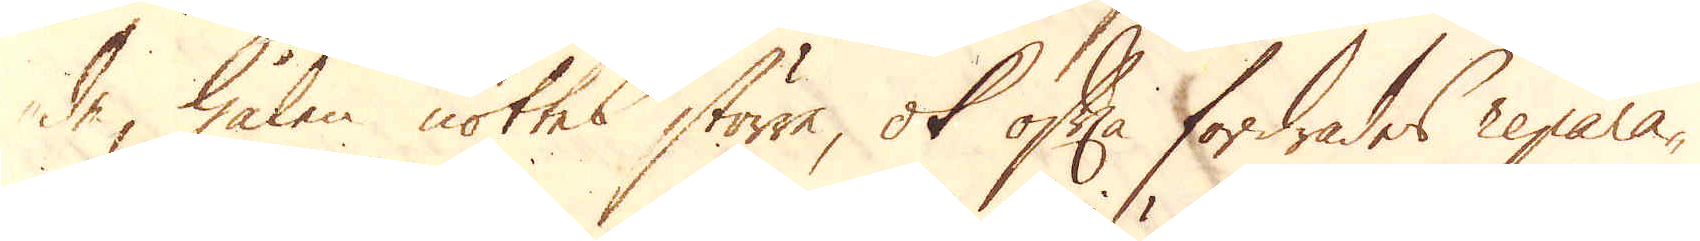de, hålen nöttes större, ok ofta fordrades repara-
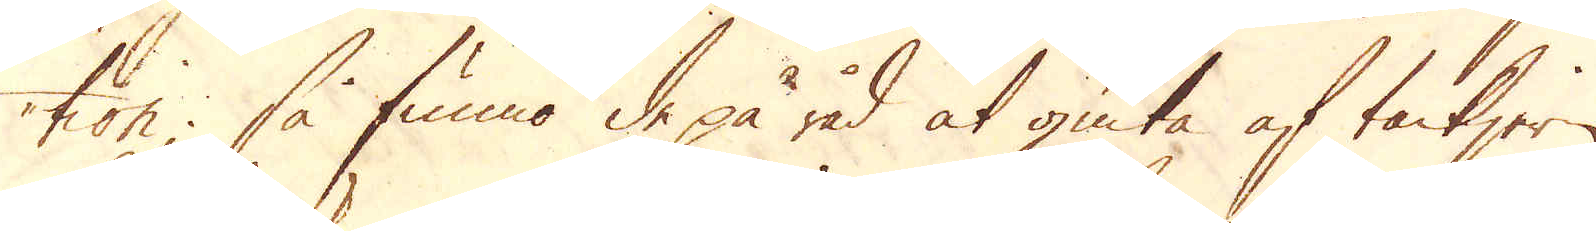tion; så funno de på råd at giuta af tackjern,
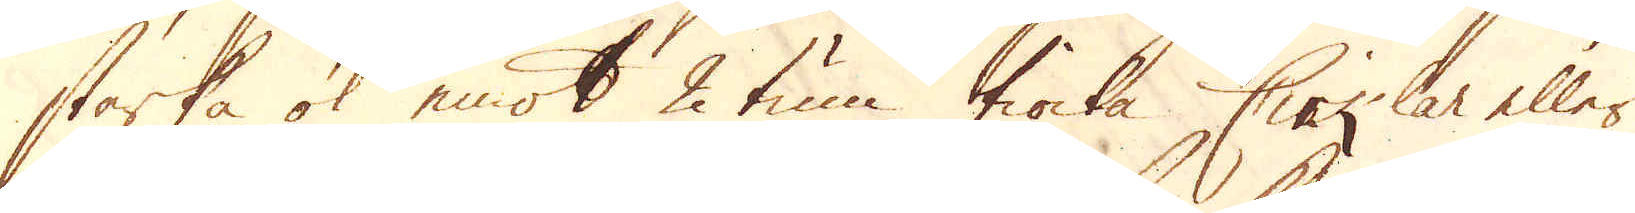starka ok emot 2 tum tiocka Cirklar eller
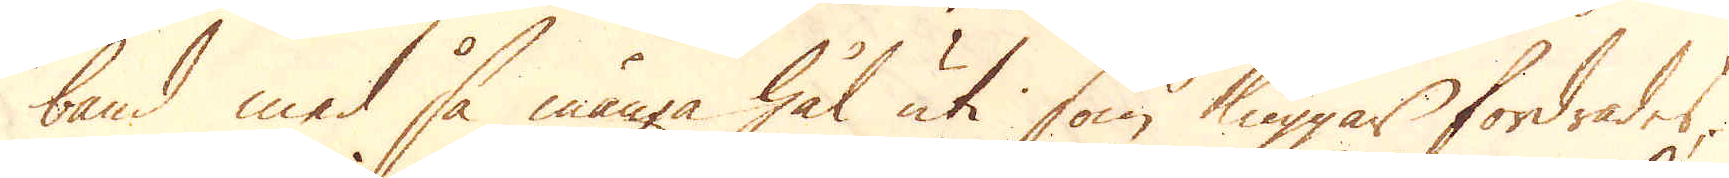band med så många hål uti som kuggar fordrades,
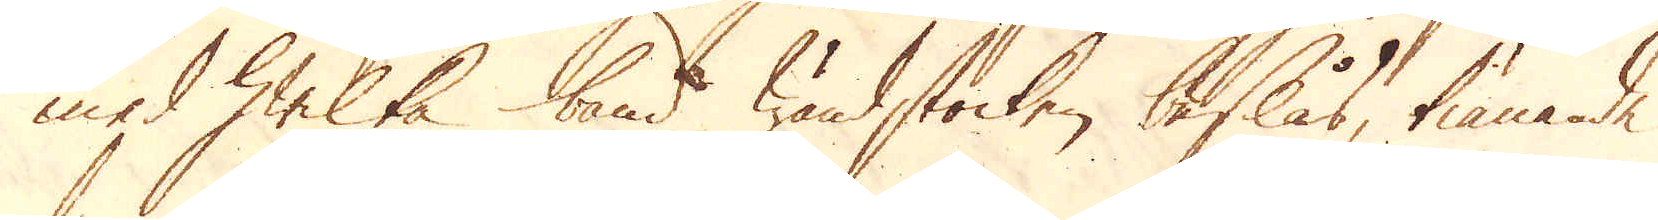med hwilka band wändstocken beslås, tiänande
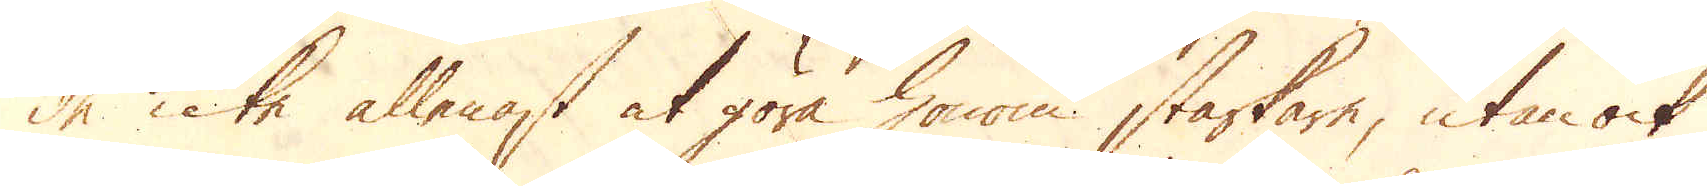de icke allenast at göra honom starkare, utan ock
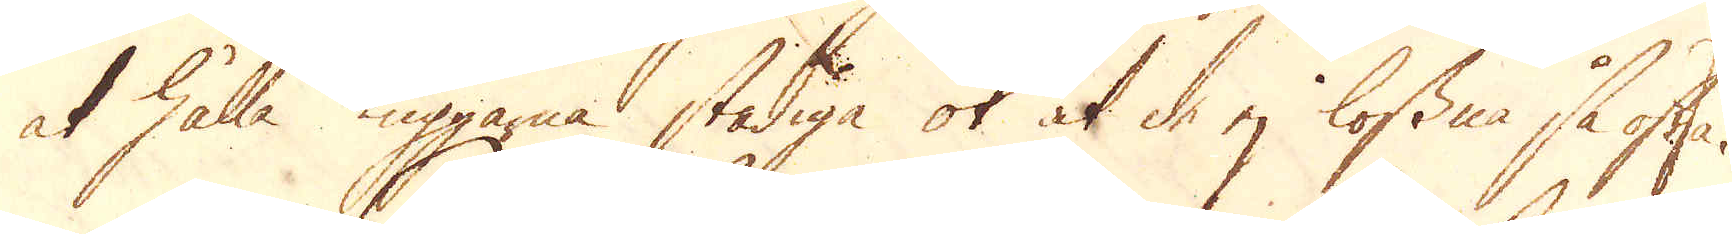at hålla kuggarna stadiga ok at de ej lossna så ofta.
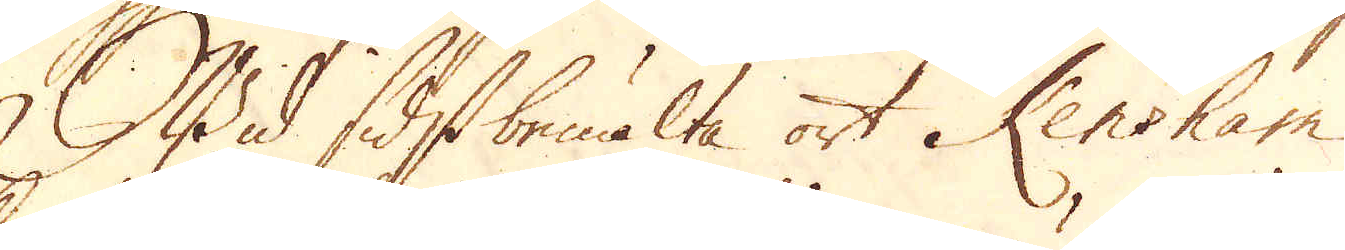Wid sidstbemälte ort Kensham
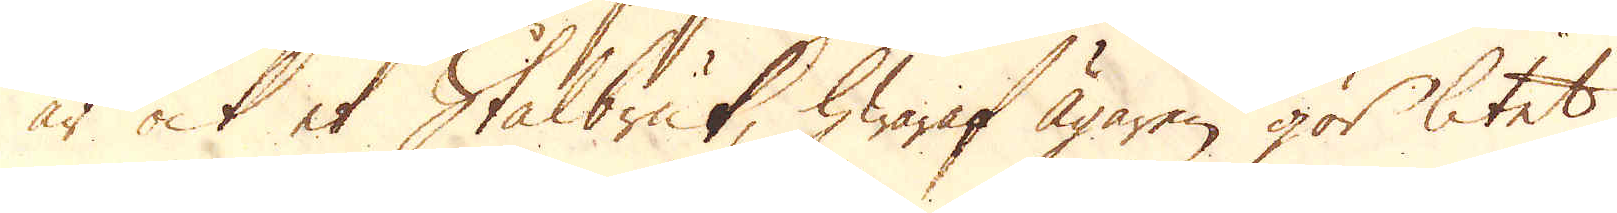är ock et Stålbruk, hwaraf Ägaren gör litet
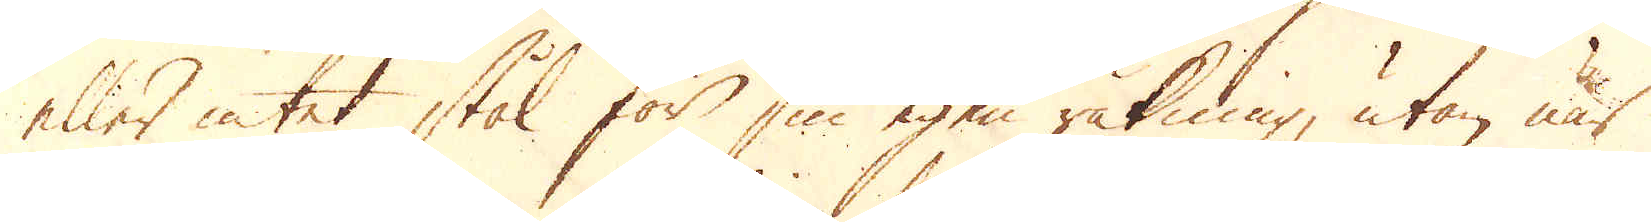eller intet stål för sin egen räkning, utan när
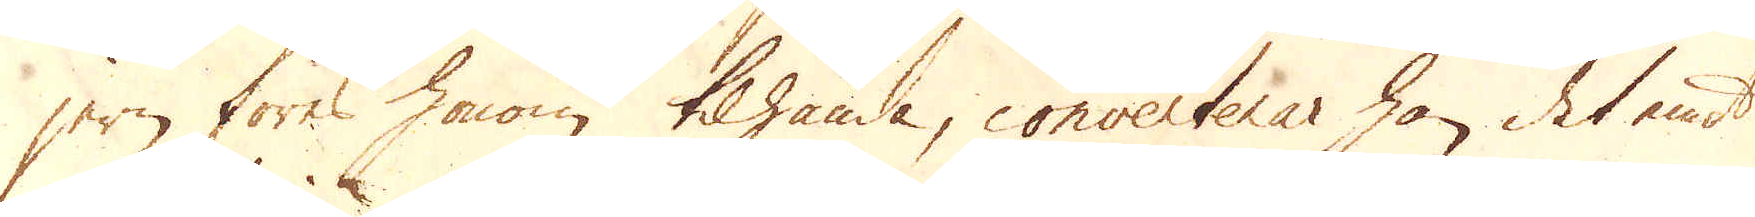jern föres honom tilhanda, converterar han det emot
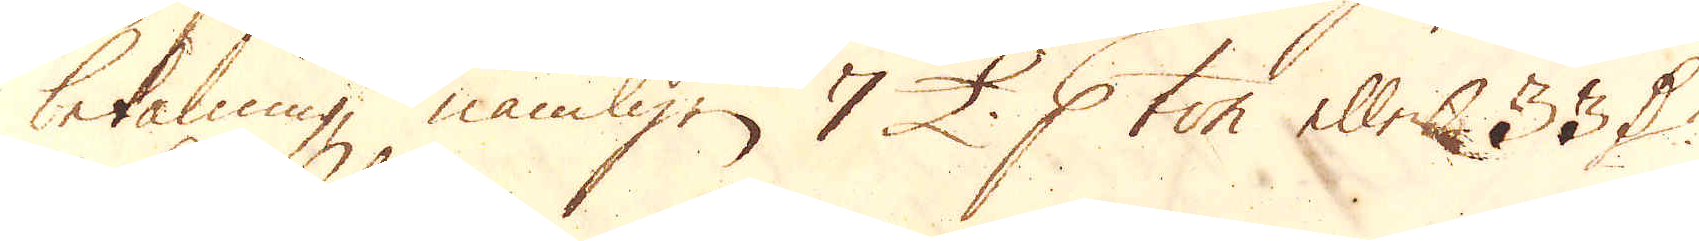betalning, nämligen 7 £. p ton eller 33 D:r
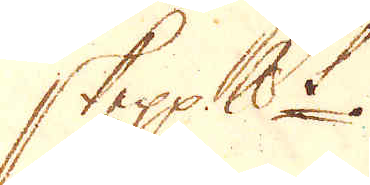skeppundet.
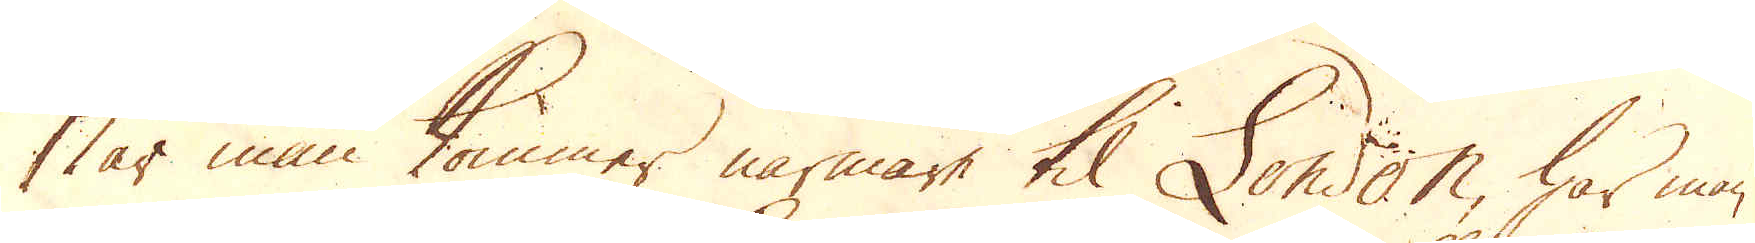När man kommer närmare til London, har man
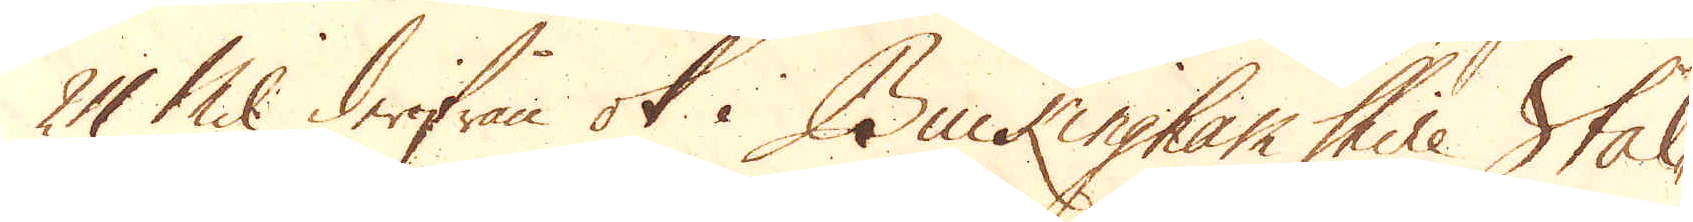24 Mil derifrån ok i Buckingham Shire Stål-
